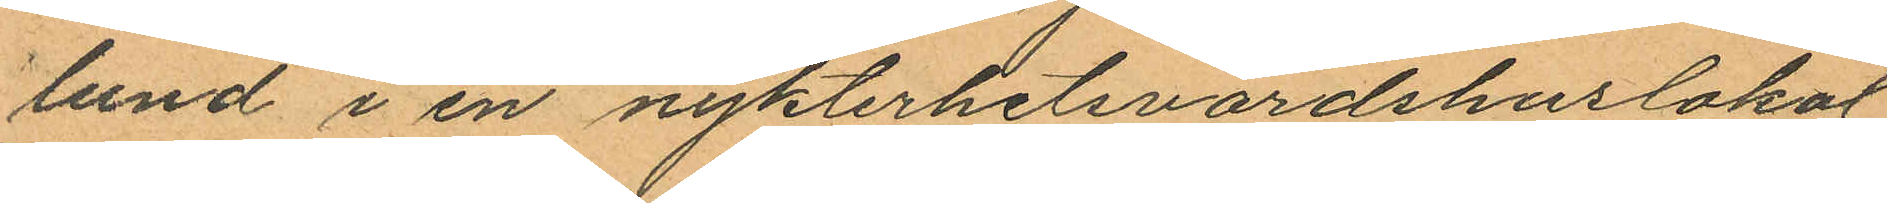lund i en nykterhetsvärdshuslokal
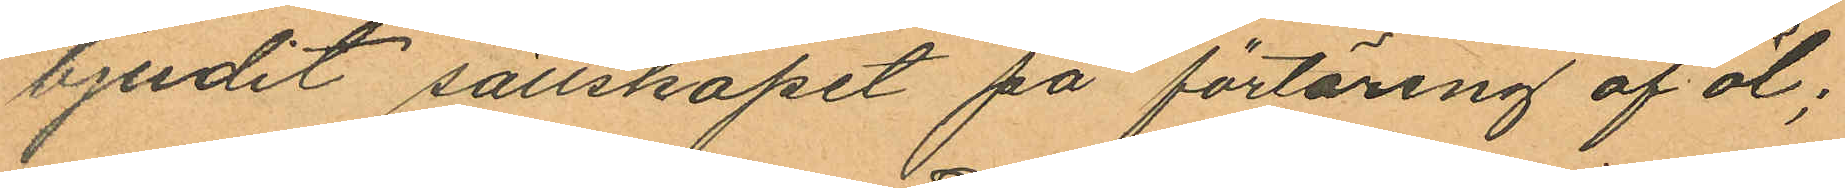bjudit sällskapet på förtäring af öl;
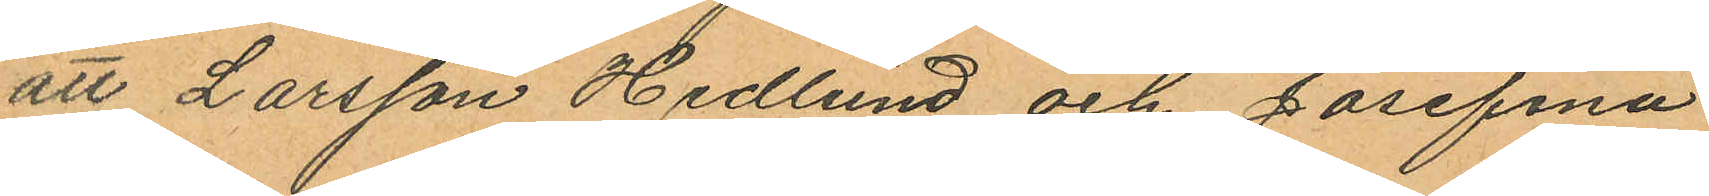att Larsson Hedlund och Josefina
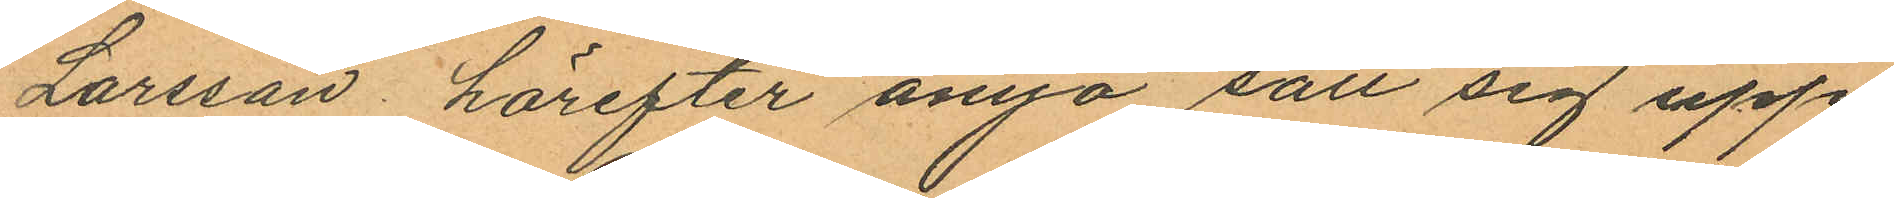Larsson, härefter ånyo satt sig upp
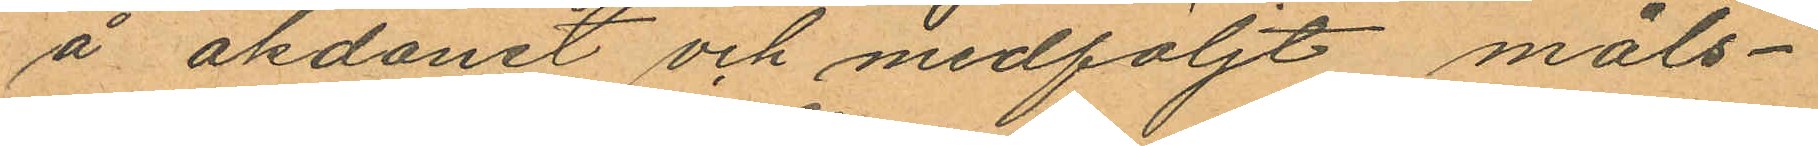å åkdonet och medföljt måls¬
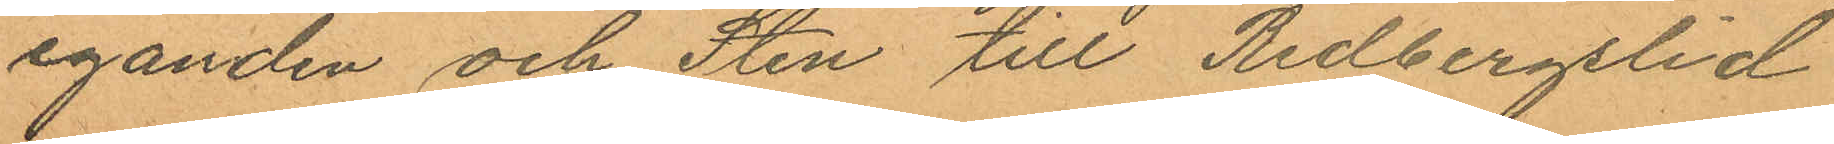eganden och Sten till Redbergslid
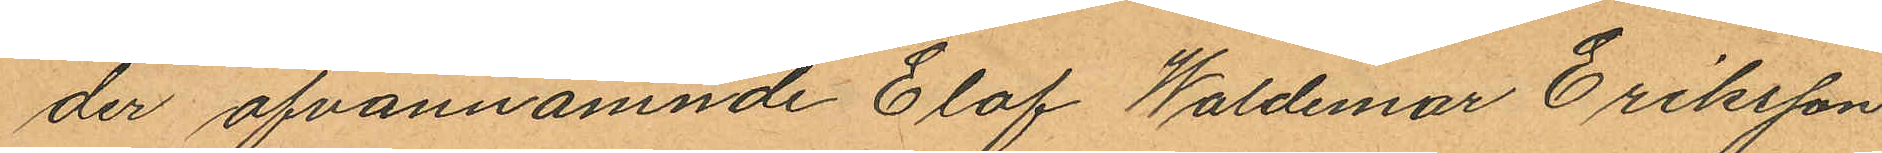der ofvannämnde Elof Waldemar Eriksson
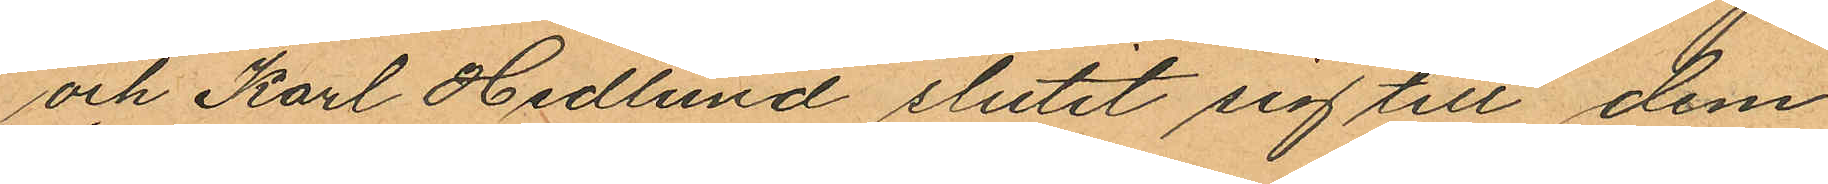och Karl Hedlund slutit sig till dem
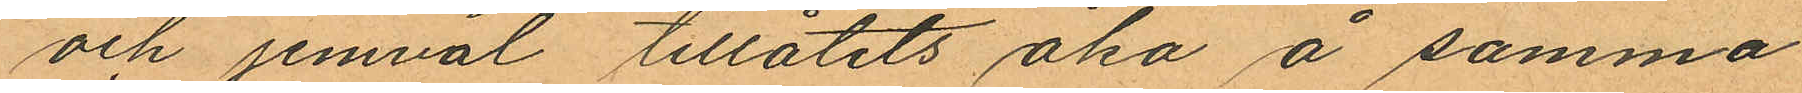och jemväl tillåtits åka å samma
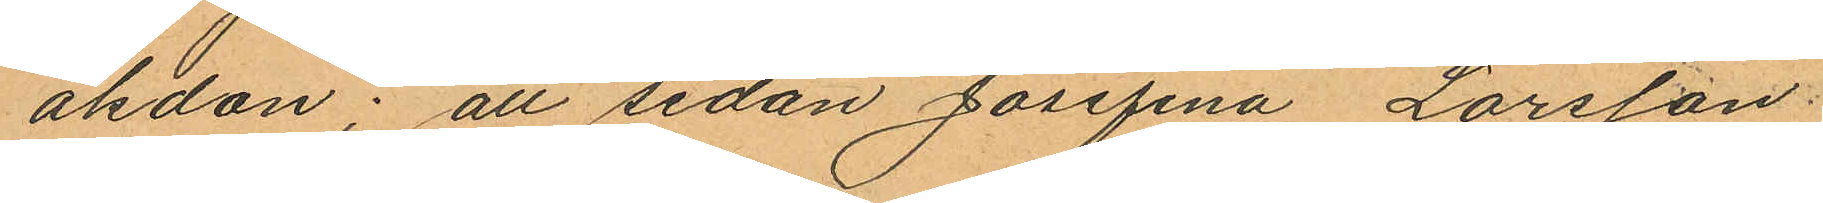åkdon; att sedan Josefina Larsson
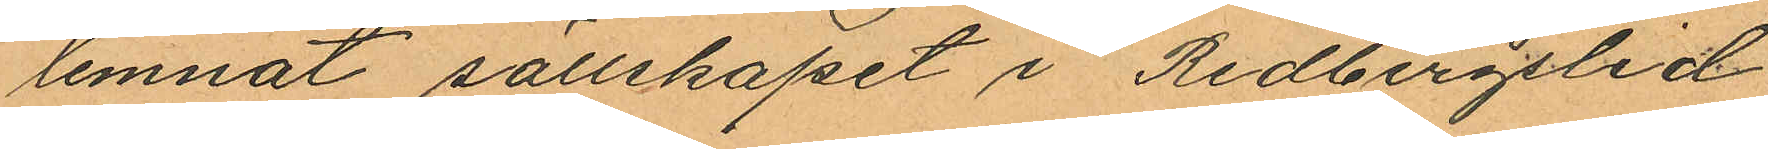lemnat sällskapet i Redbergslid
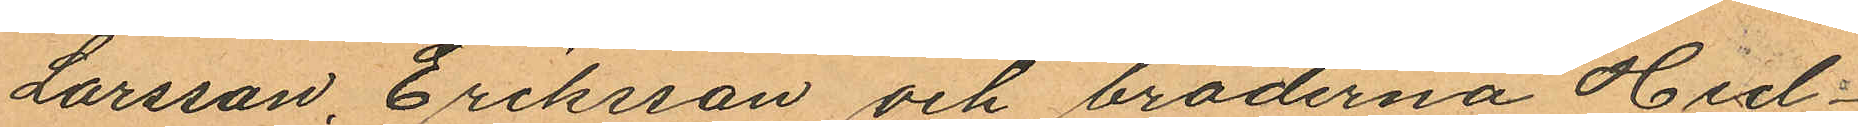Larsson, Eriksson och bröderna Hed¬
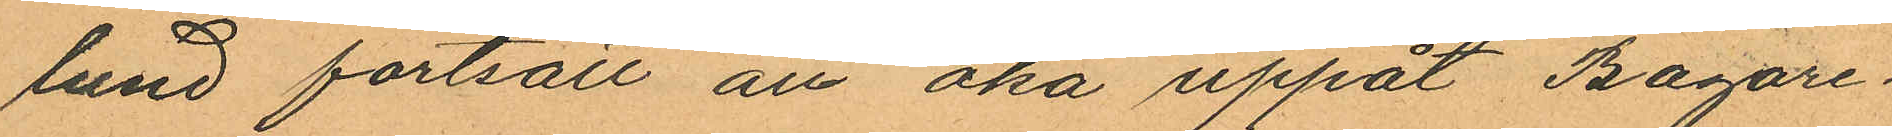lund fortsatt att åka uppåt Bagare¬
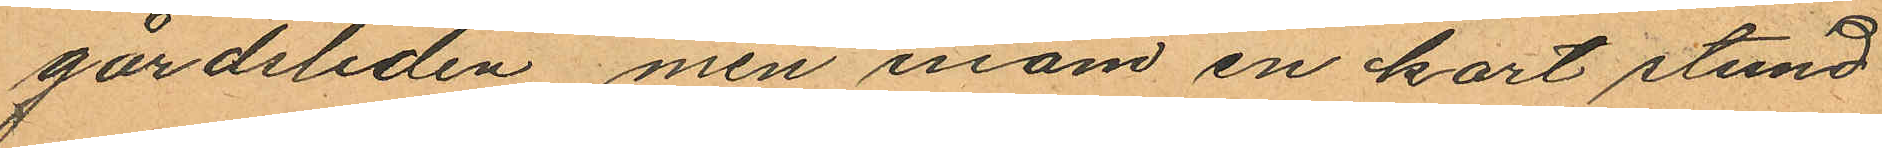gårdsliden men inom en kort stund
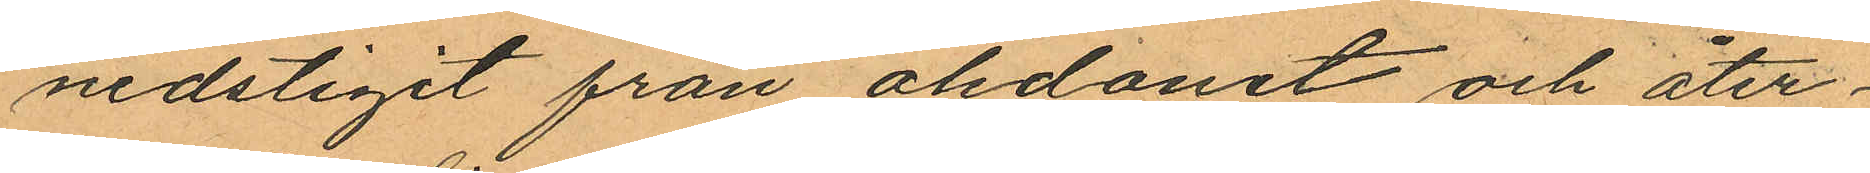nedstigit från åldonet och åter¬
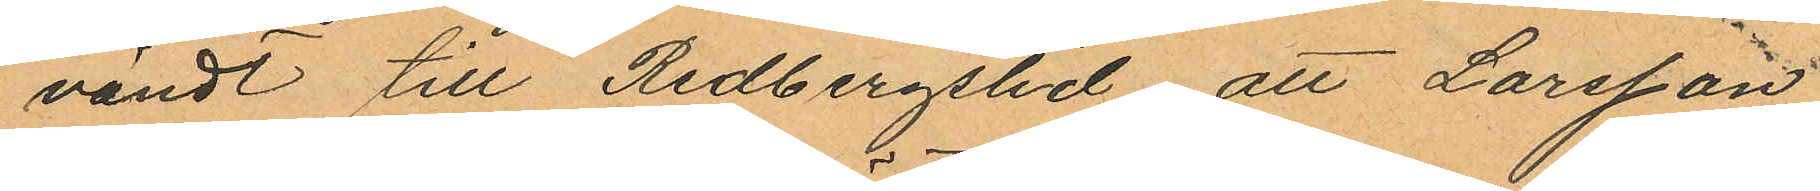vändt till Redbergslid att Larsson
